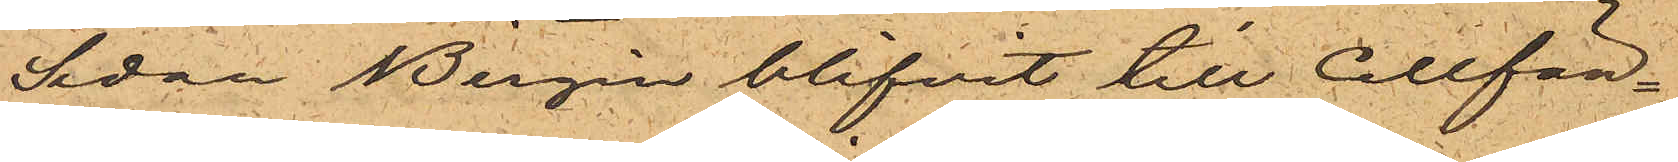Sedan Bergin blifvit till Cellfän¬
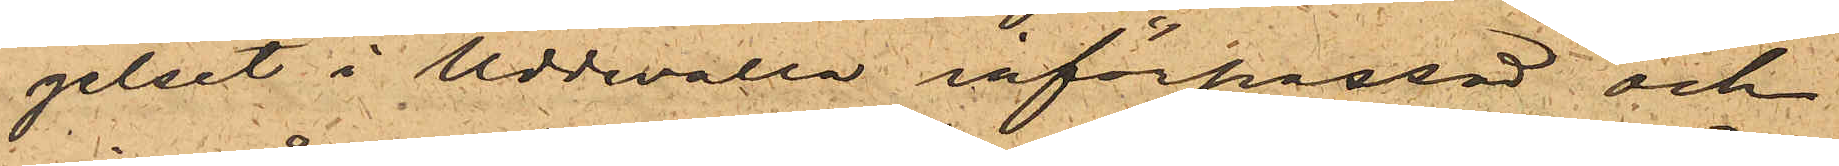gelset i Uddevalla införpassad och
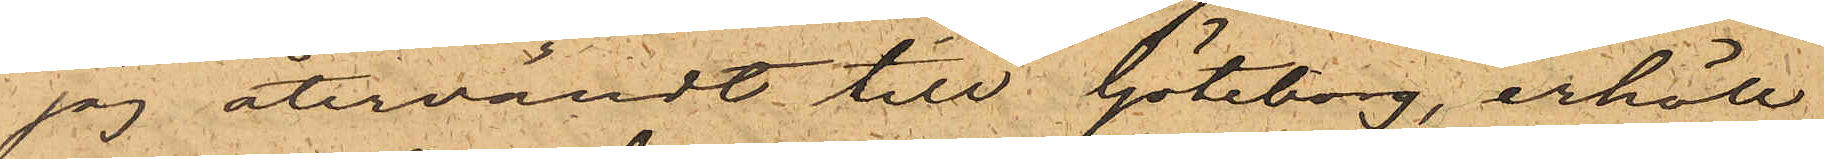jag återvändt till Göteborg, erhöll
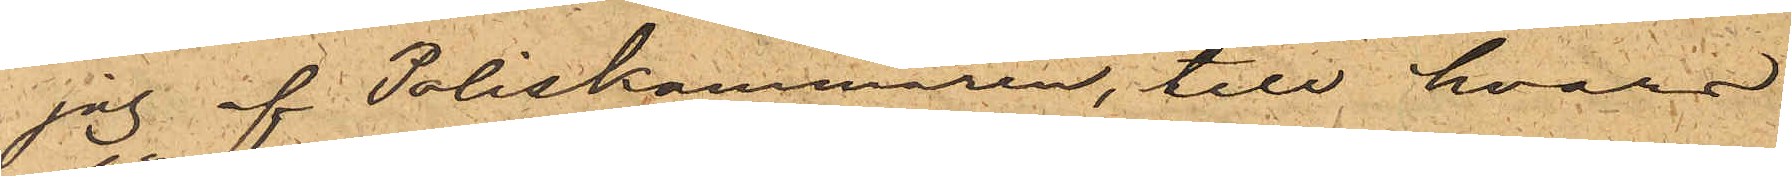jag af Poliskammaren, till hvars
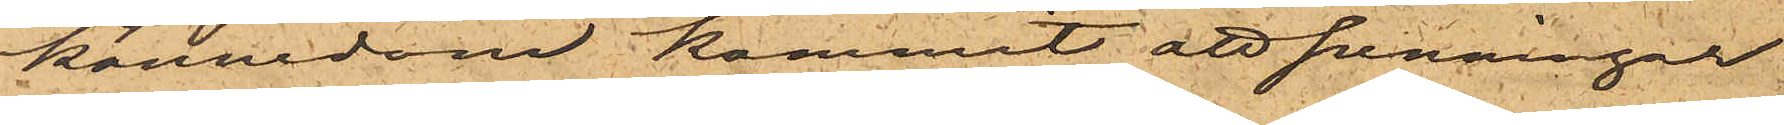kännedom kommit att penningar
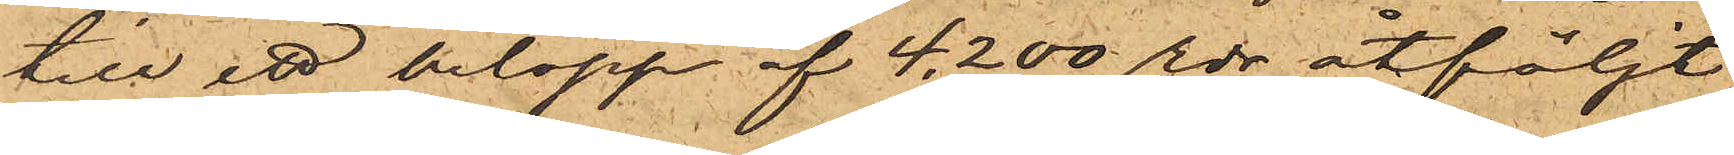till ett belopp af 4,200 rdr åtföljt
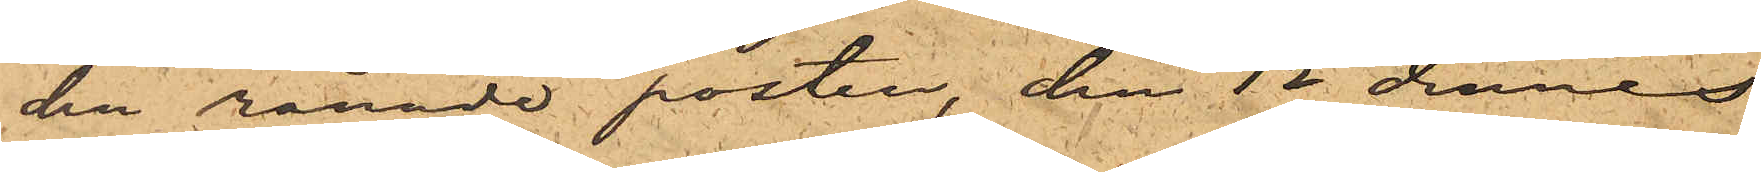den rånade posten, den 12 dennes
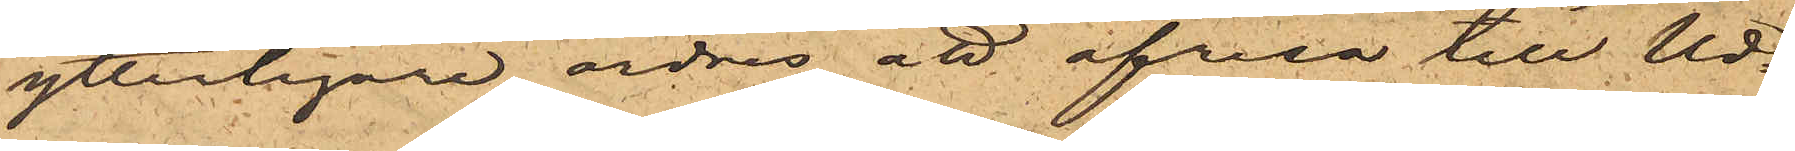ytterligare ordres att afresa till Ud¬
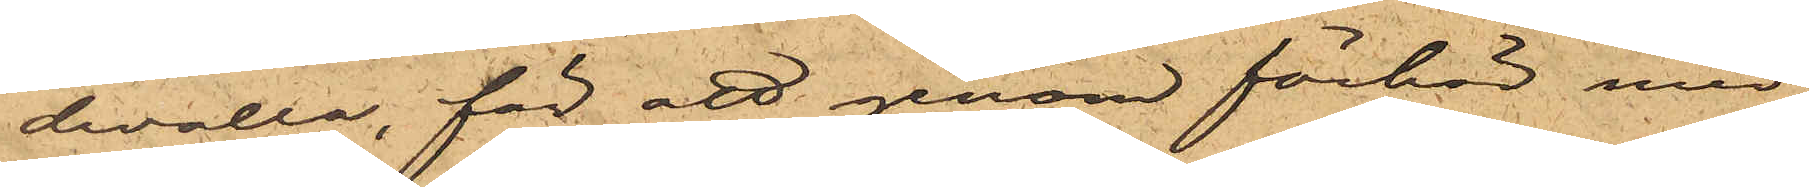devalla, för att genom förhör med
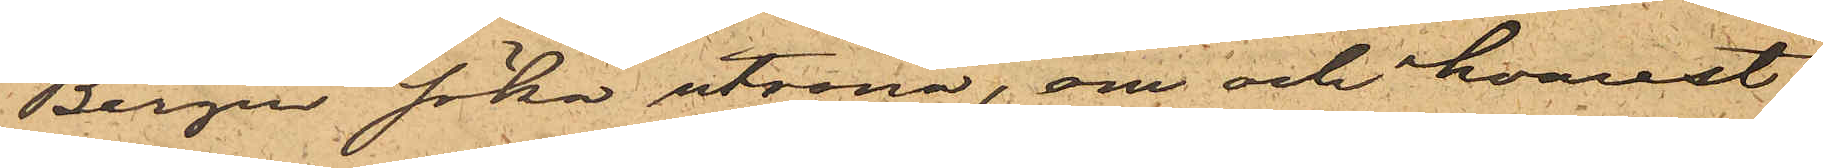Bergin söka utröna, om och hvarest
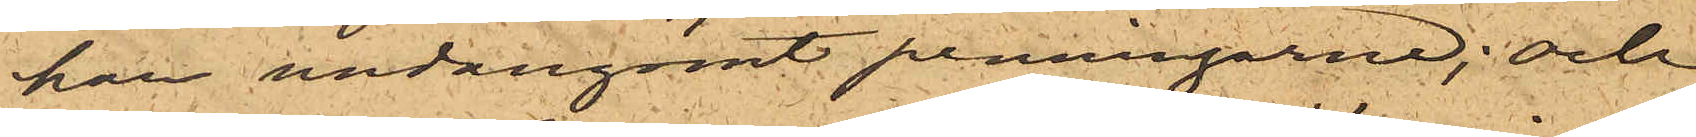han undangömt penningarne; och
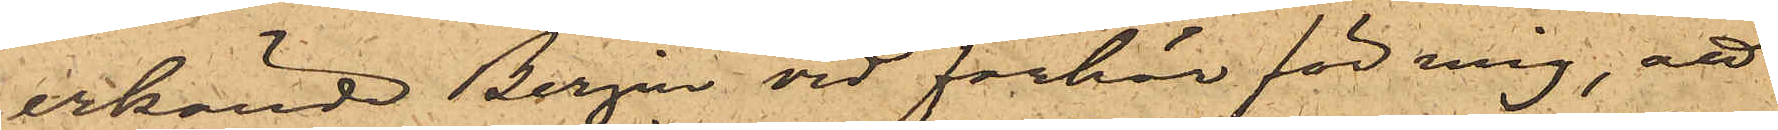erkände Bergin vid förhör för mig, att
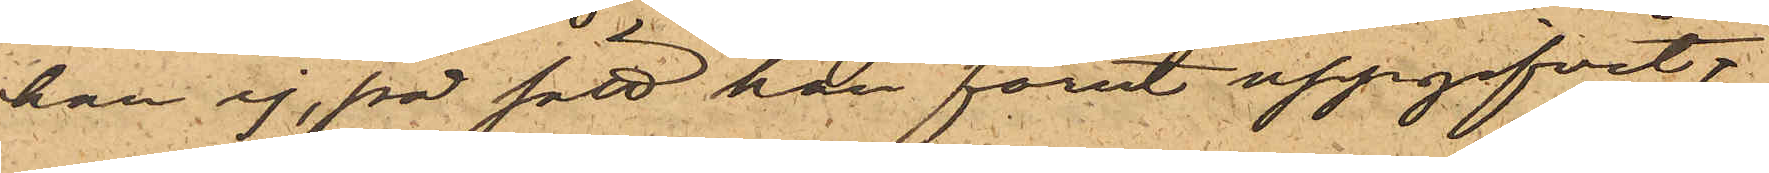han ej, på sätt han förut uppgifvit,
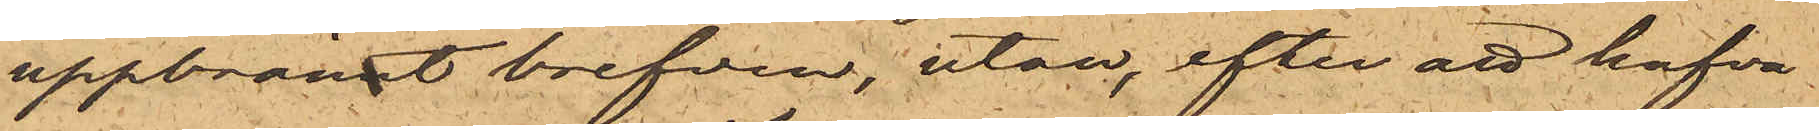uppbrännt brefven, utan, efter att hafva
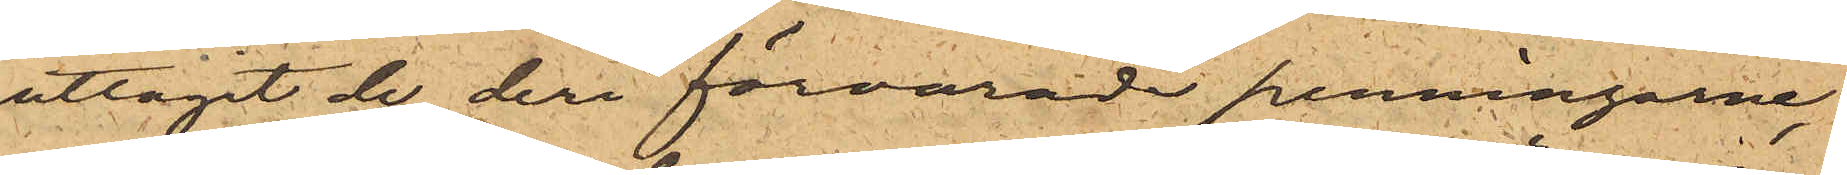uttagit de deri förvarade penningarne,
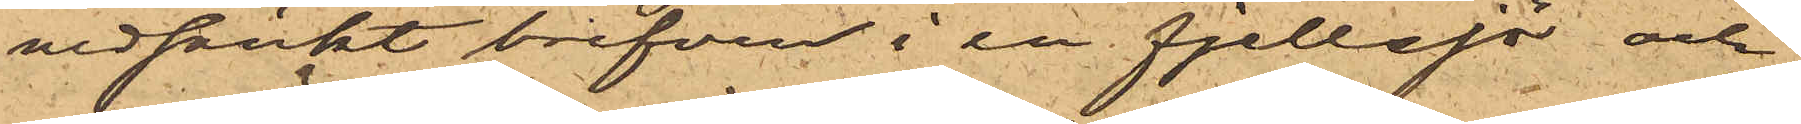nedsänkt brefven i en fjellsjö och
